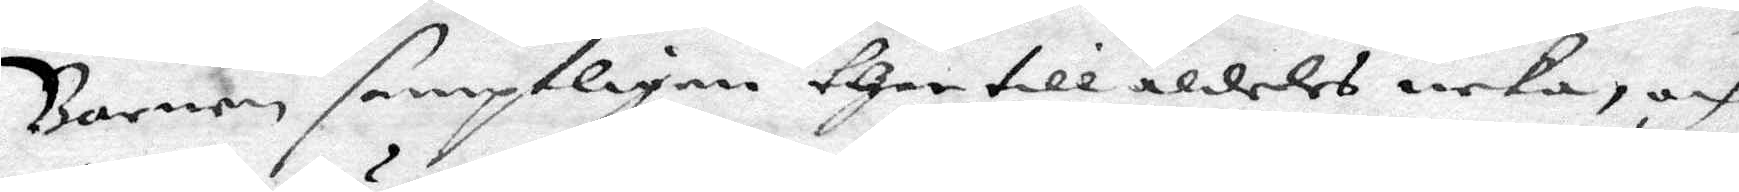Banren samptligen ther till aldeles neka, och
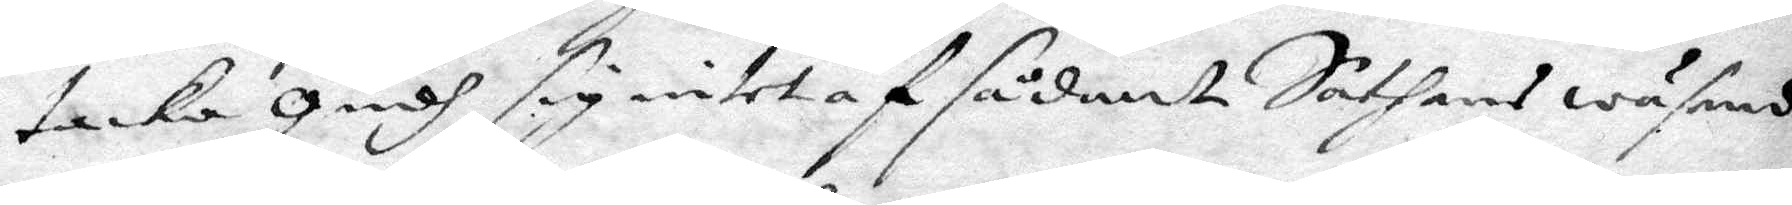tacka Gusdh sig intet af sådant Sathans wäsend
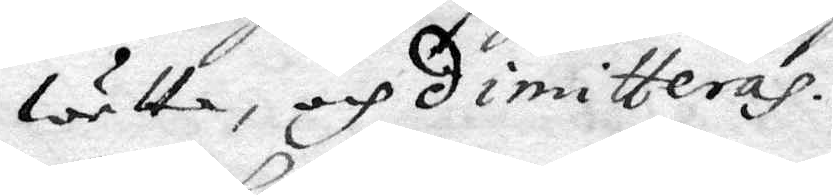wetta, och dimitteras.
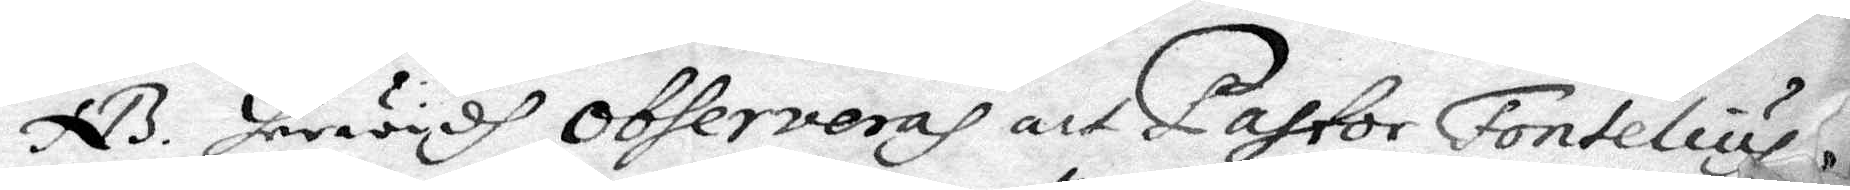NB. herwydh observeras att Pastor Fontelius
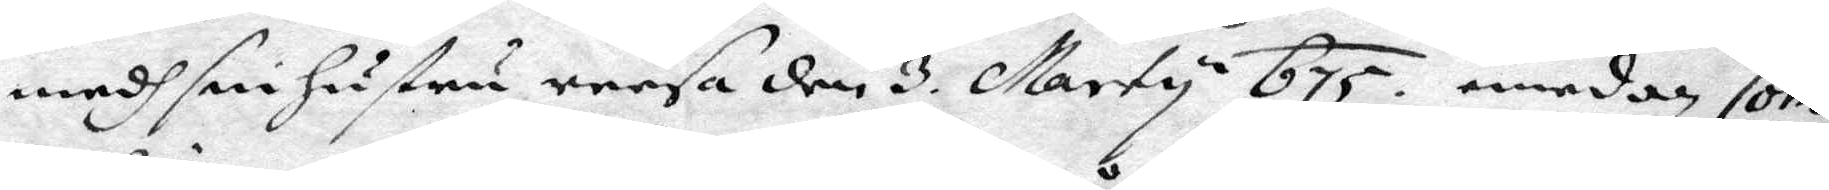medh sin hustru resa den 3. Marty 675. emedan Com¬
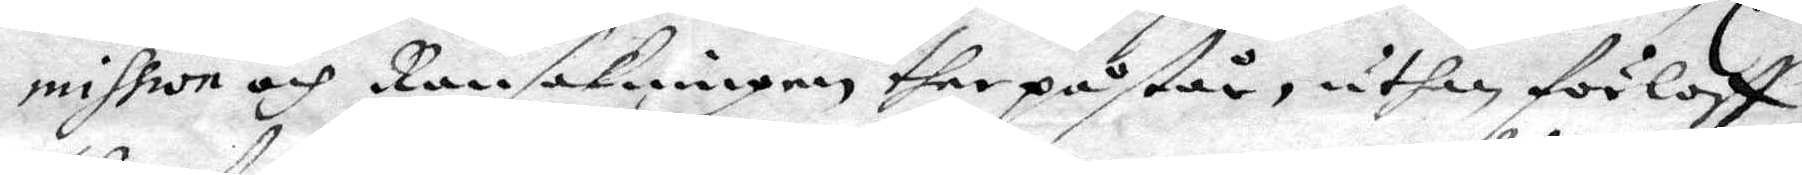mission och Ransakningen ther påstår, uthan förloff
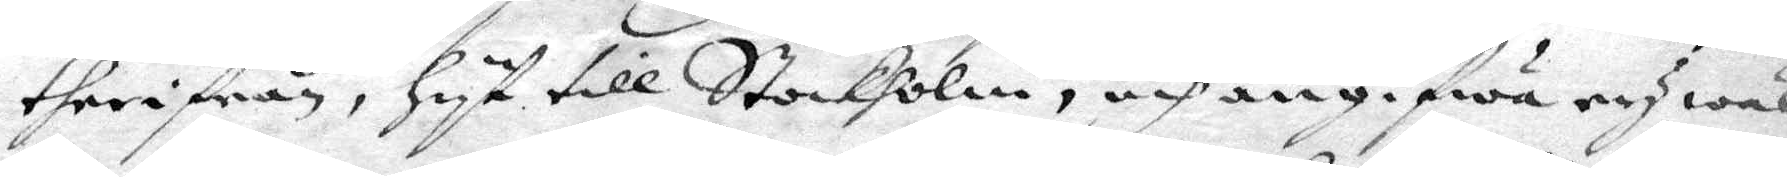therifrån, hyt till Stockholm, och angifwa ey wäl
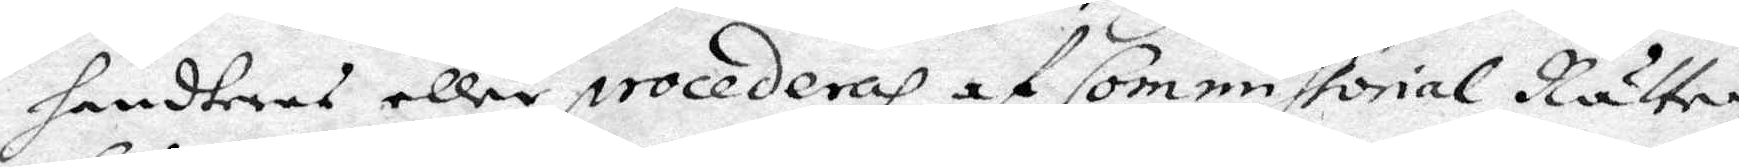handteras eller procederas af Commissorial Rätten
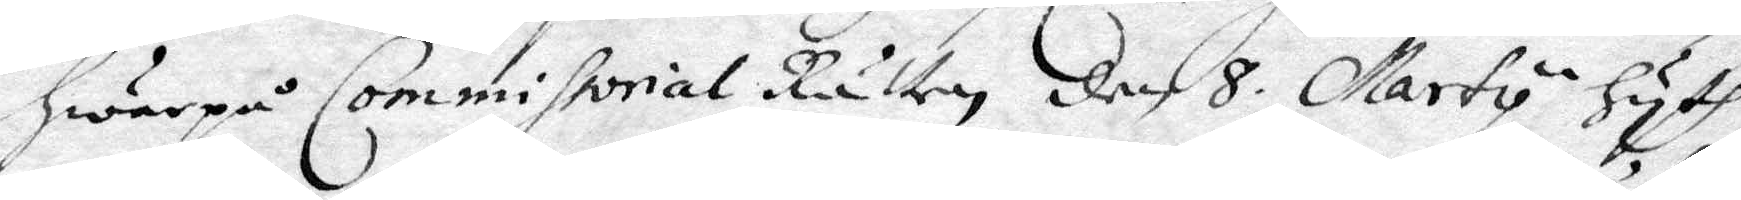hwarpå Commissorial Rätten den 8. Marty hyth
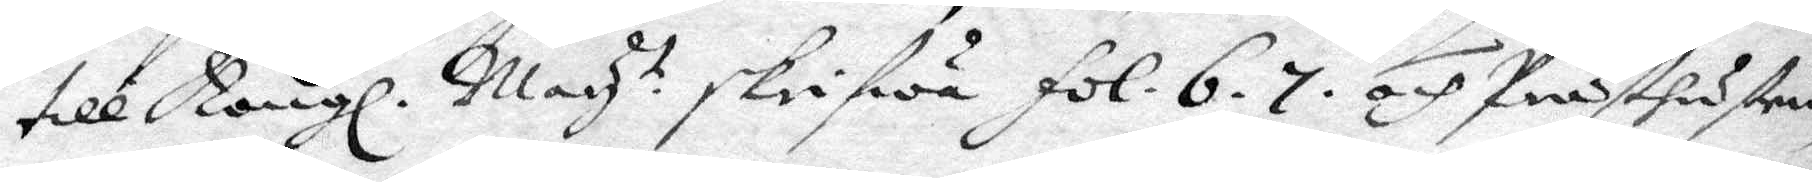till Kongl. May.t skrifwa fol. 6. 7. och Prästhustrun
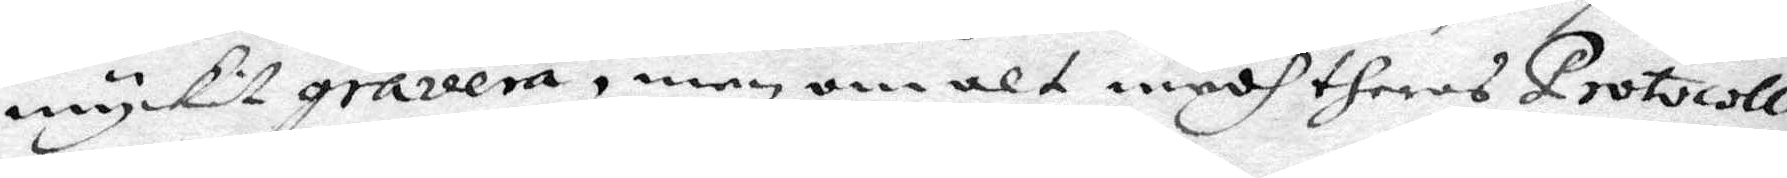myckit gravera, men om alt medh theras Protocollo
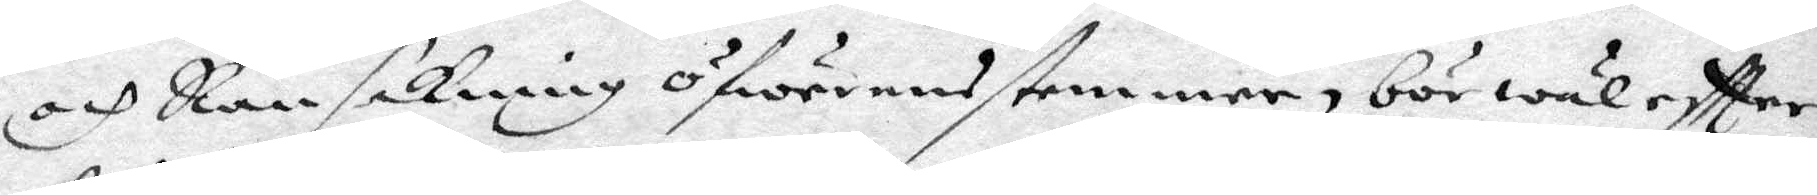och Ransakning öfwerensstemmer, bör wäl eftter¬
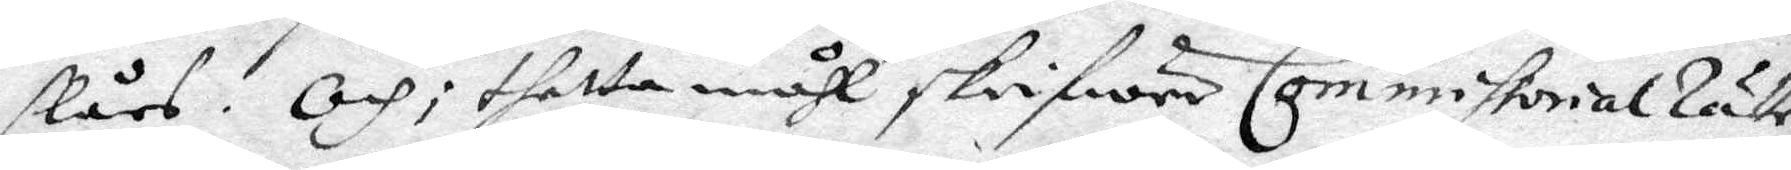slås. Och; thetta måhl skrifwer CommissorialRätten
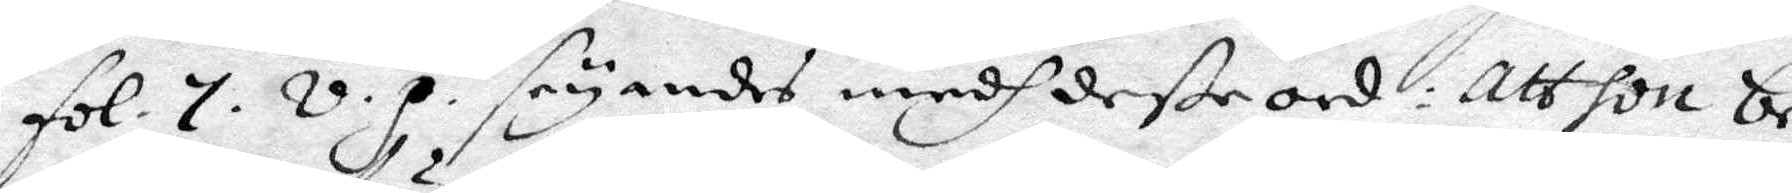fol. 7. v.p. seyandes medh deße ord: Att hon be¬
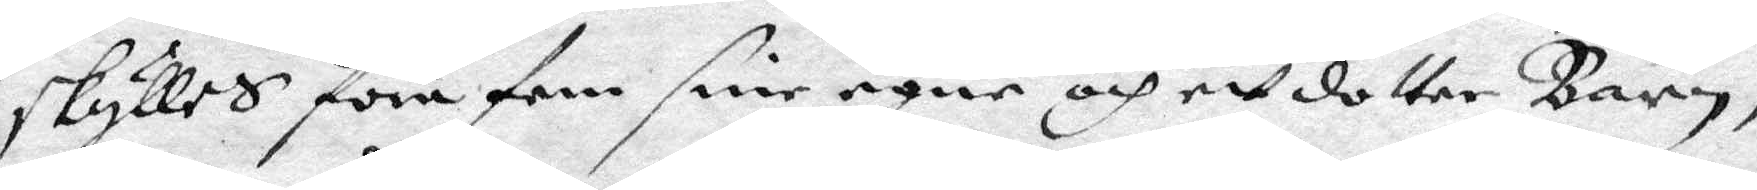skylles föra fem sine egne och ett dotter barn,
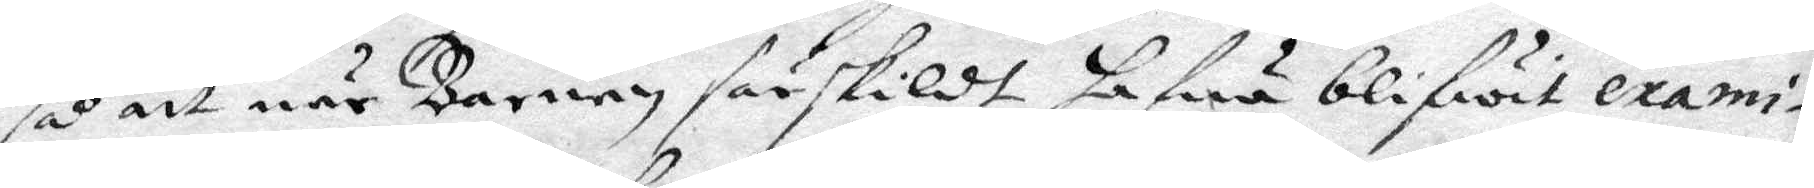så att när Barnen särskildt hafwa blifwit exami¬
